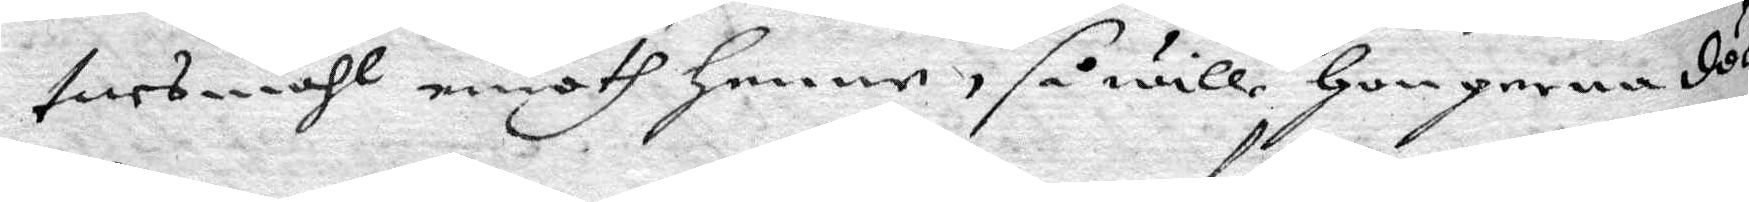tnesmåhl emoth henne, så wille hon gerna döö.
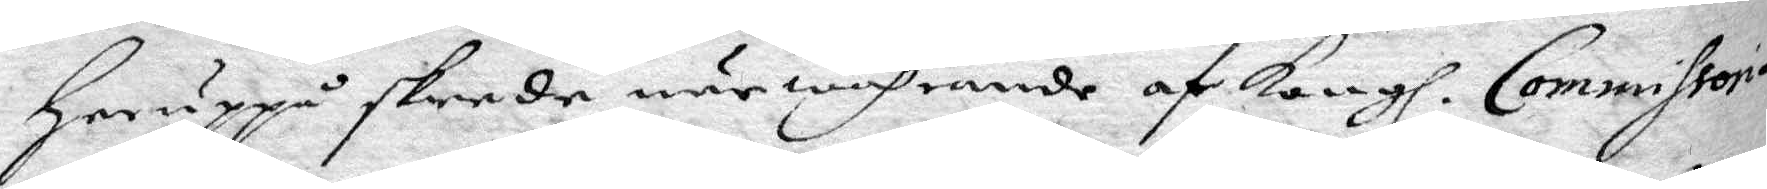Heruppå skrede närwahrande af Kongl. Commissori¬
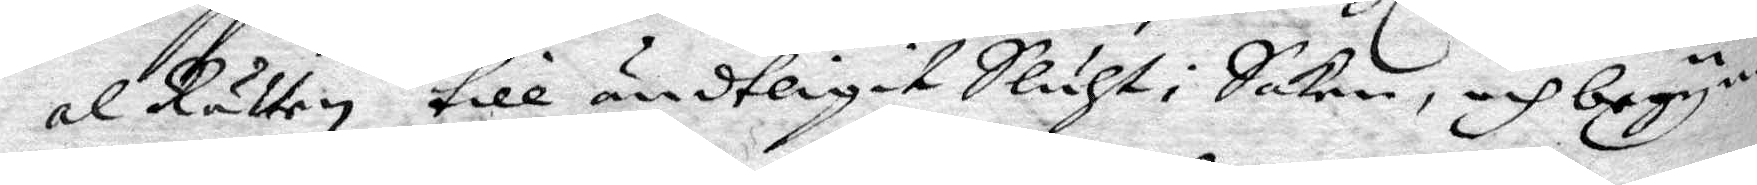al Rätten till ändtligit Sluht i Saken, och begyn¬
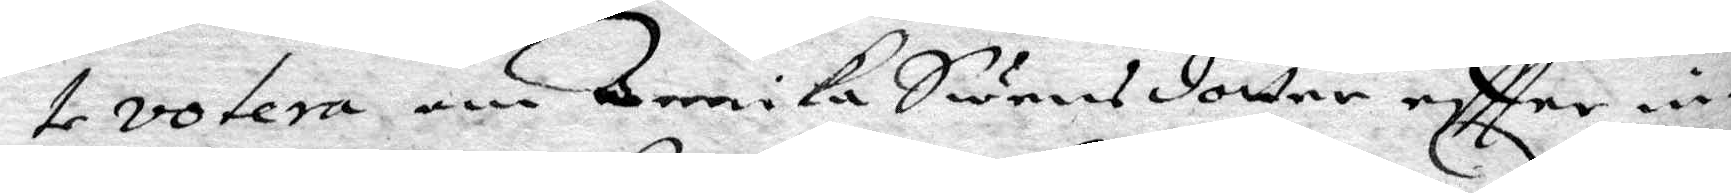te votera om Annika Swensdotter eftter in¬
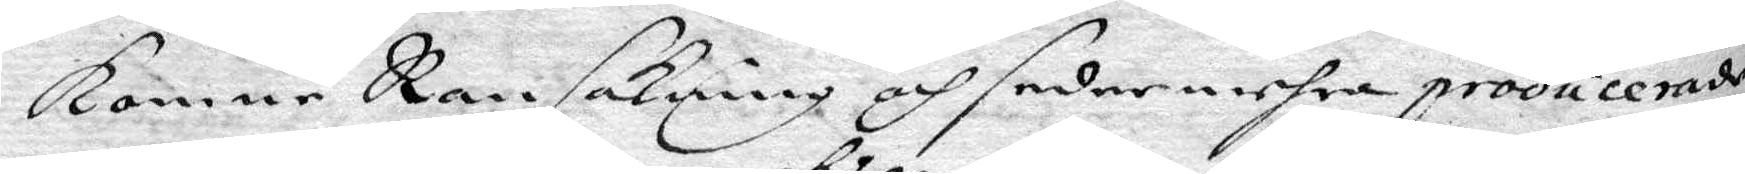komne Ranskaning och sedermehra producerande
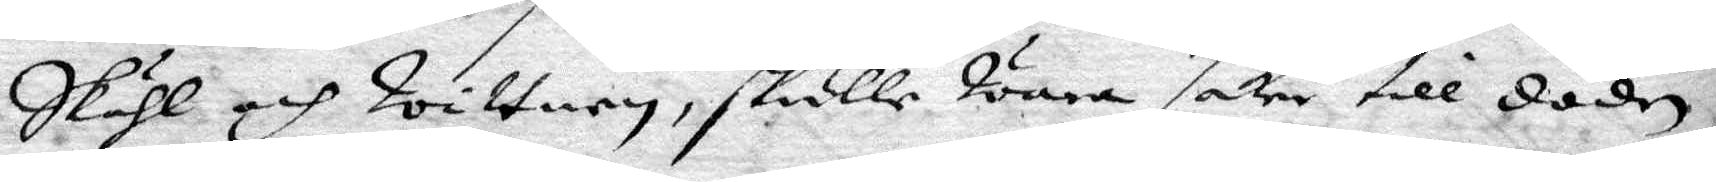Skähl och Wittnen, skulle Wara saker till döden.
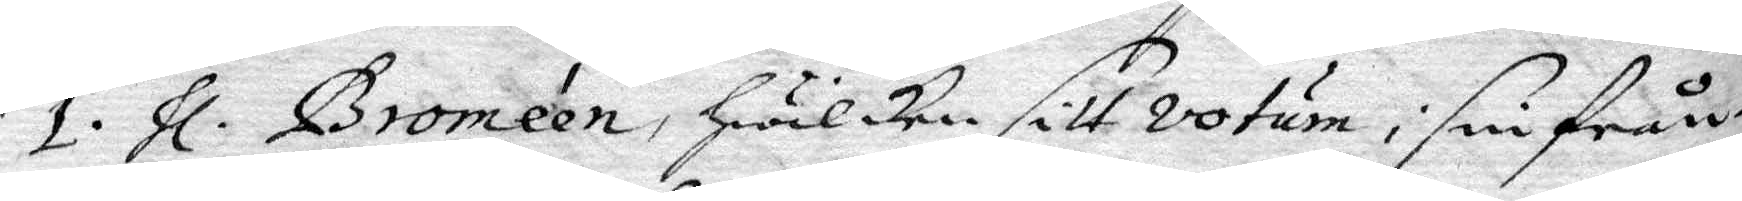1. hl Broméen, hwilken sitt votum i sin från¬
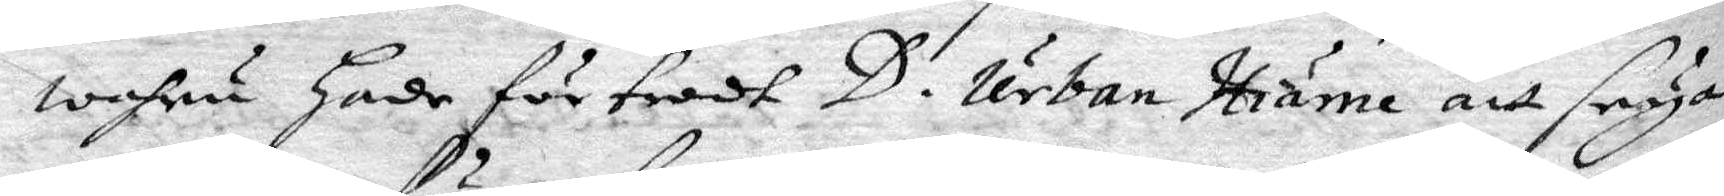wahru hade förtrodt D. Urban Hiärne att seya
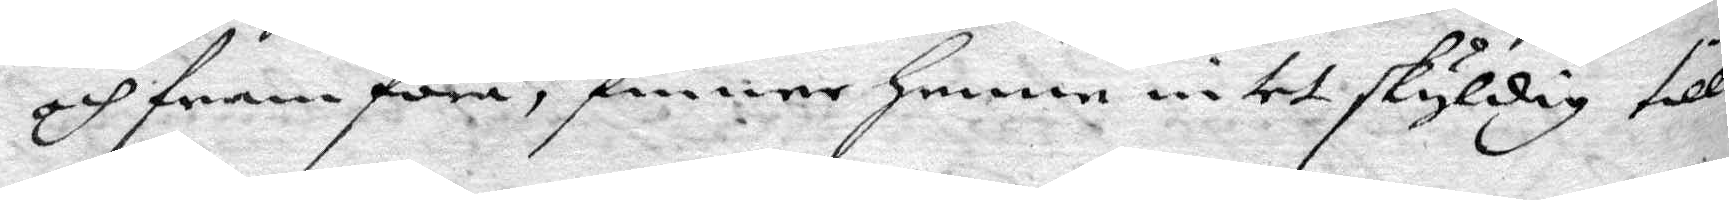och framföra, finner henne intet skyldig till
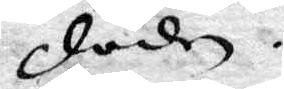döden.
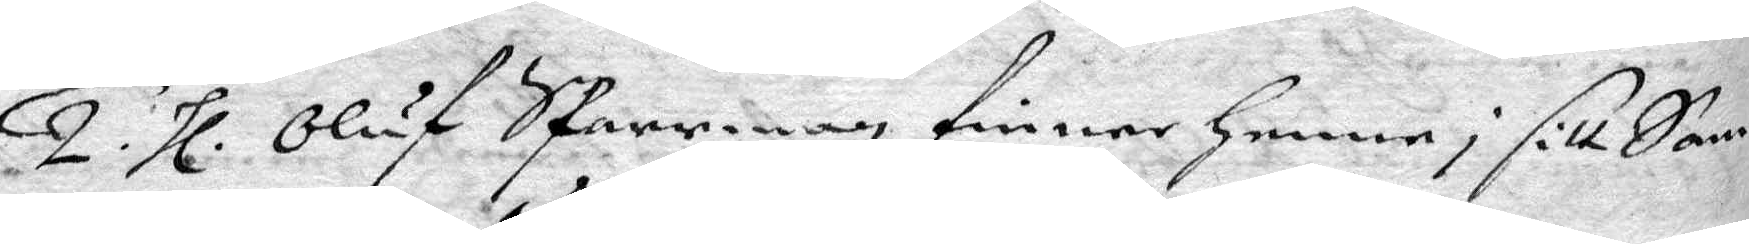2. hl. Oluf Sparrman finner henne i sitt Sam¬
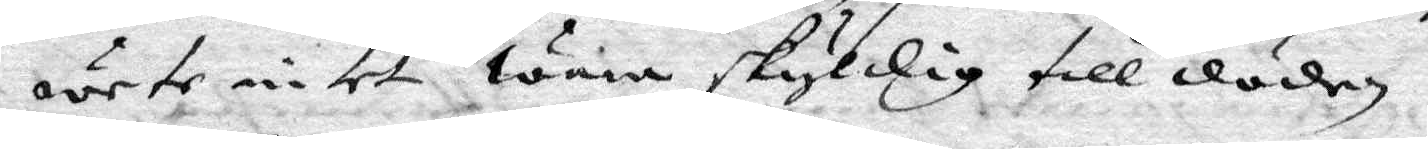wete intet wara skyldig till döden.
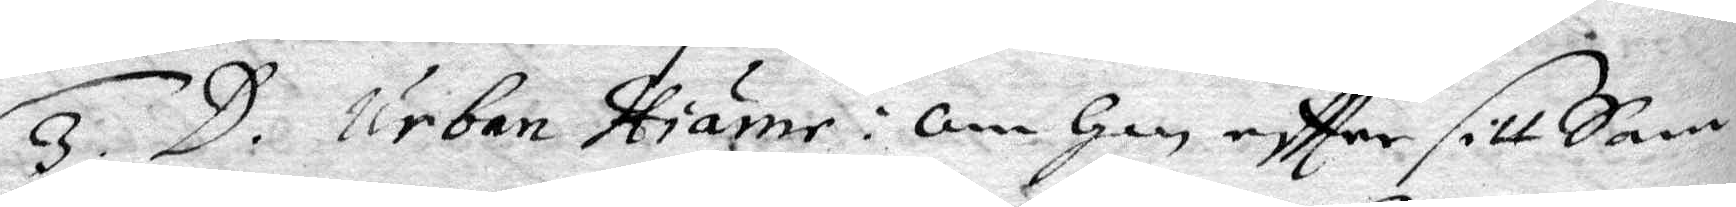3. D. Urban Hiärne: om han eftter sitt Sam¬
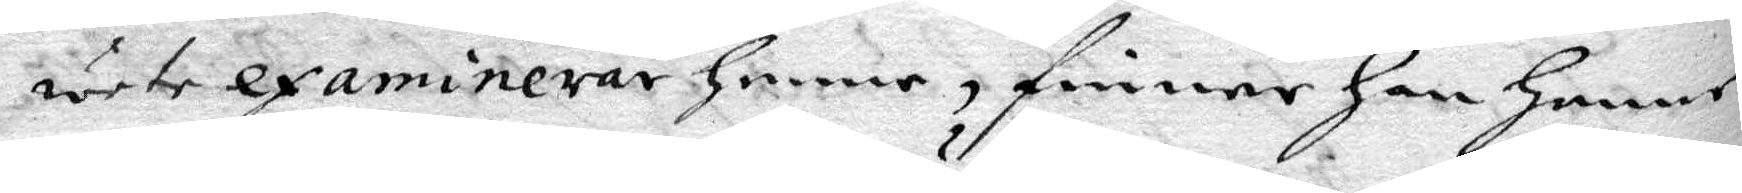wete examinerar henne, finner han henne
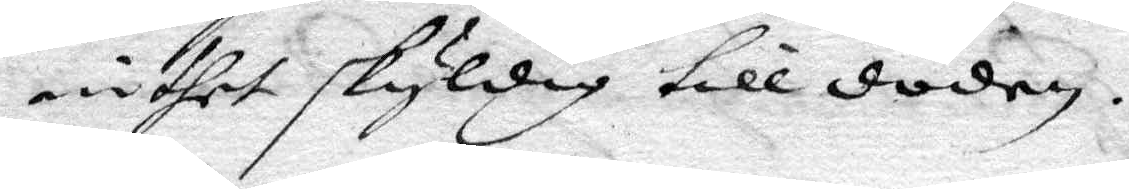inthet skyldig till döden.
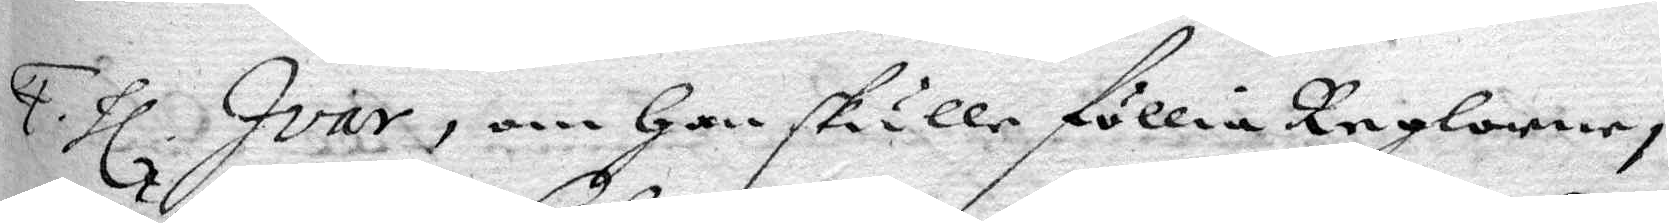4. hl. Ivar, om han skulle föllia Reglorne i
